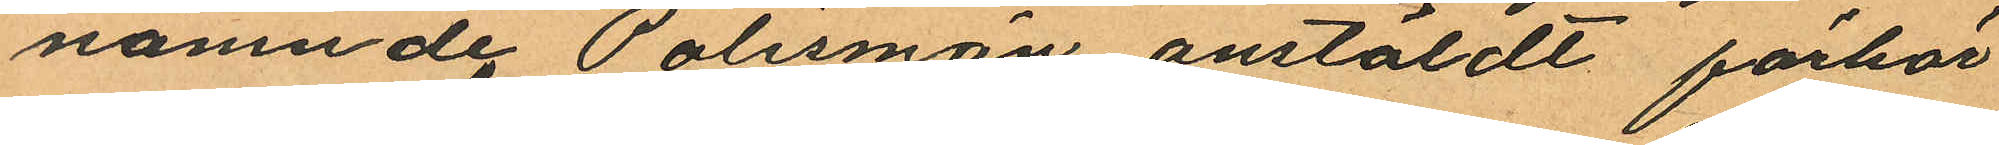nämnde Polismän anstäldt förhör
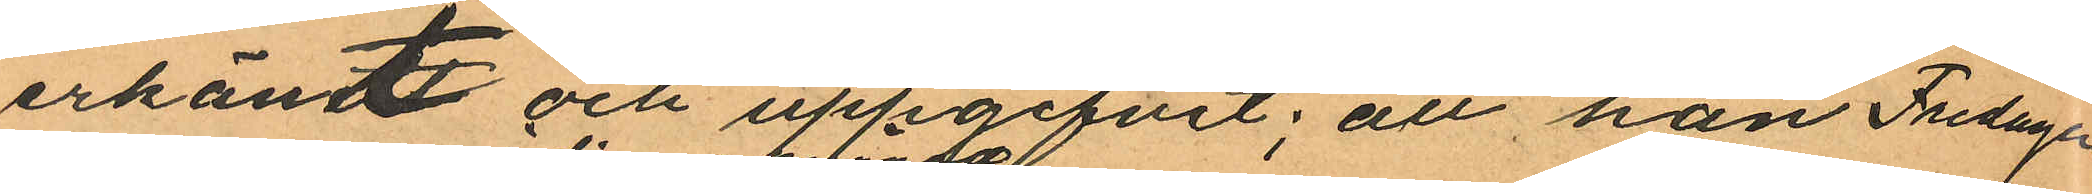erkänt och uppgifvit; att han Fredagen
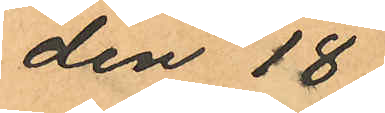den 18
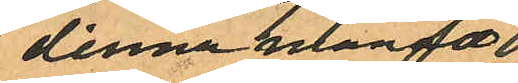i denna månad 
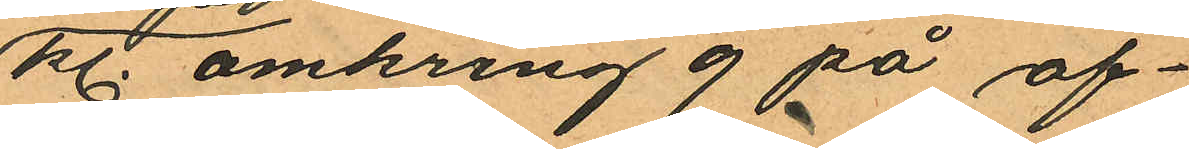kl. omkring 9 på af¬
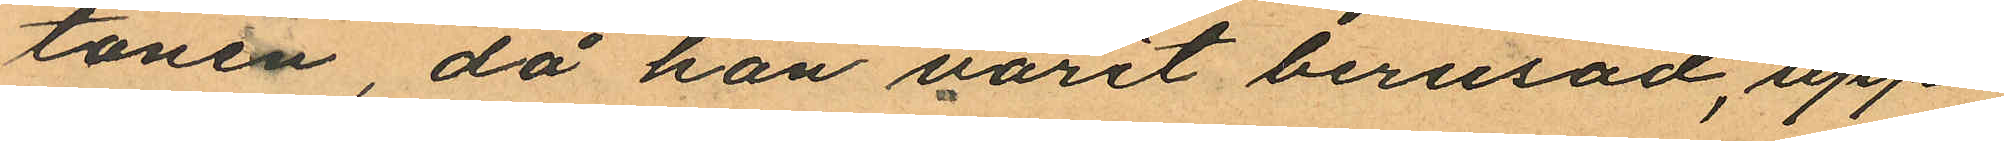tonen, då han varit berusad, upp¬
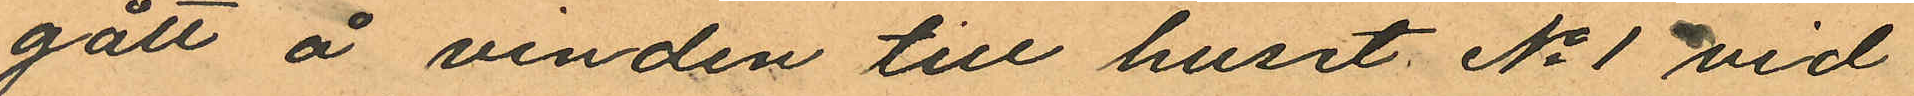gått å vinden till huset No 1 vid
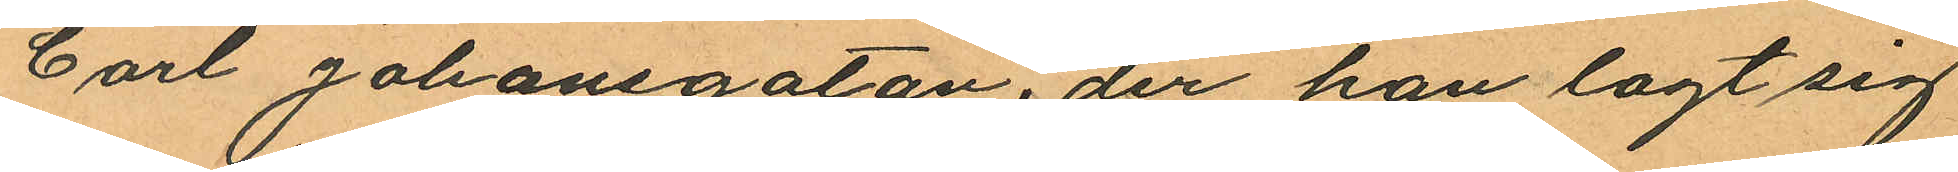Carl Johansgatan, der han lagt sig
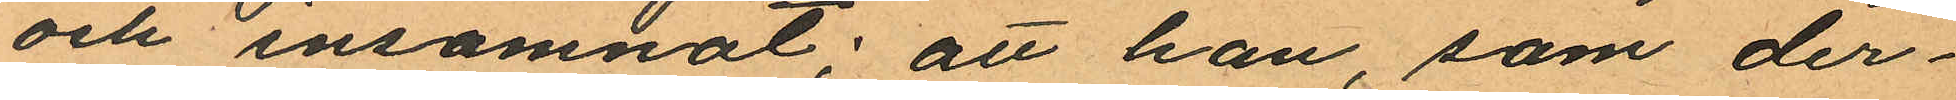och insomnat; att han, som der¬
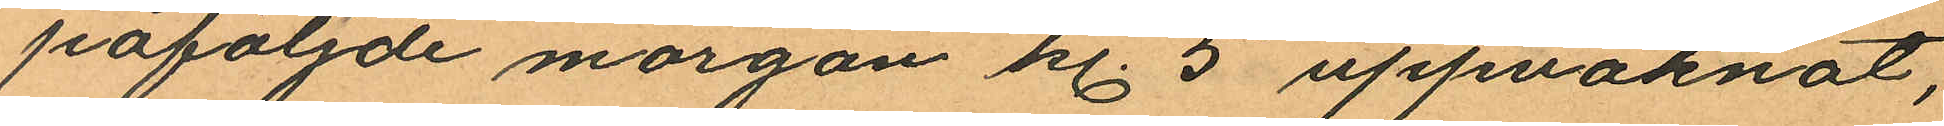påföljande morgon kl. 5 uppvaknat,
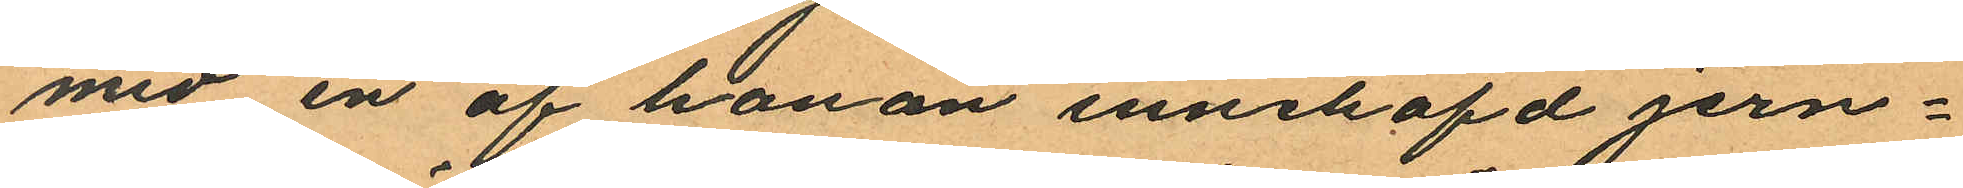med en af honom innehafd jern¬
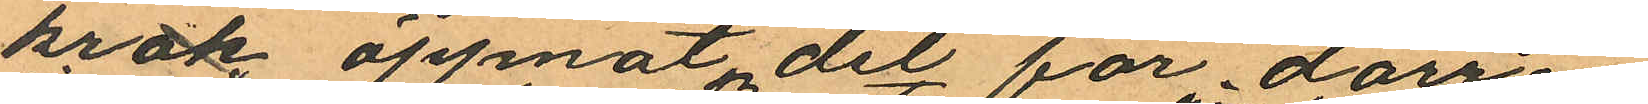krok öppnat det för dörren
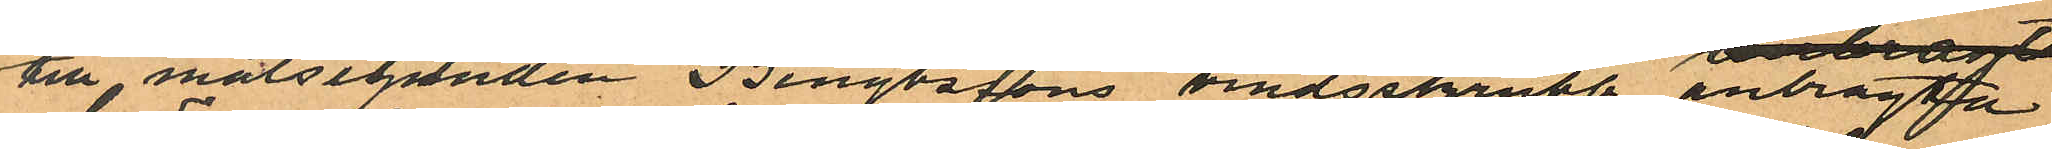till målseganden Bengtssons vindsskrubb anbragta
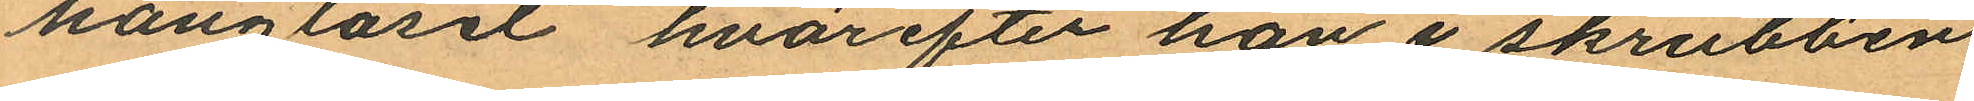hänglåset hvarefter han i skrubben
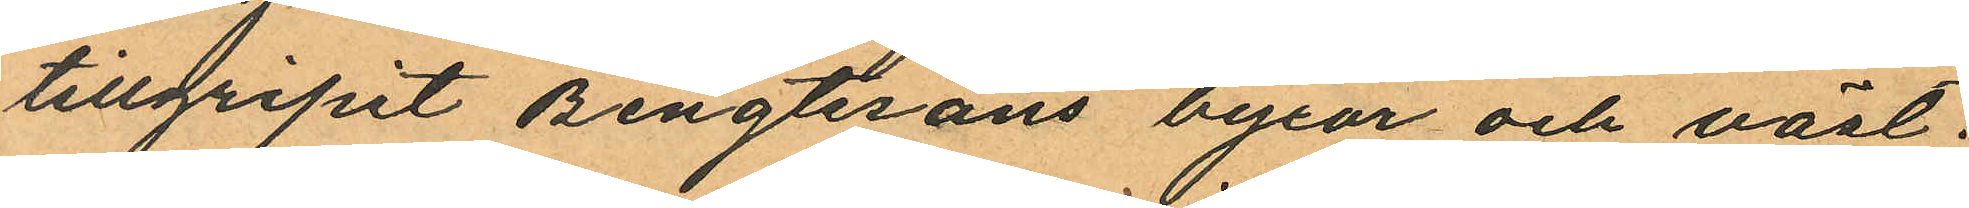tillgripit Bengtssons byxor och väst;
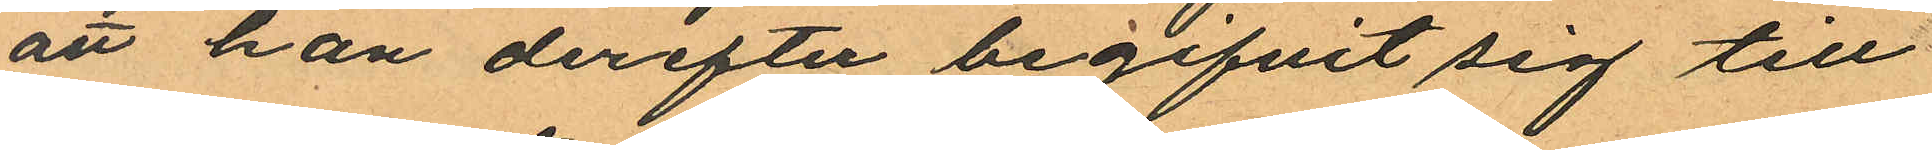att han derefter begifvit sig till
